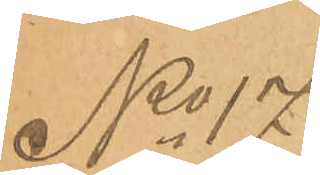No 17
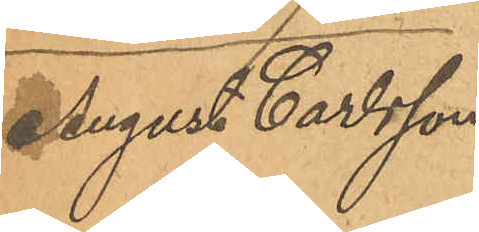August Carlsson
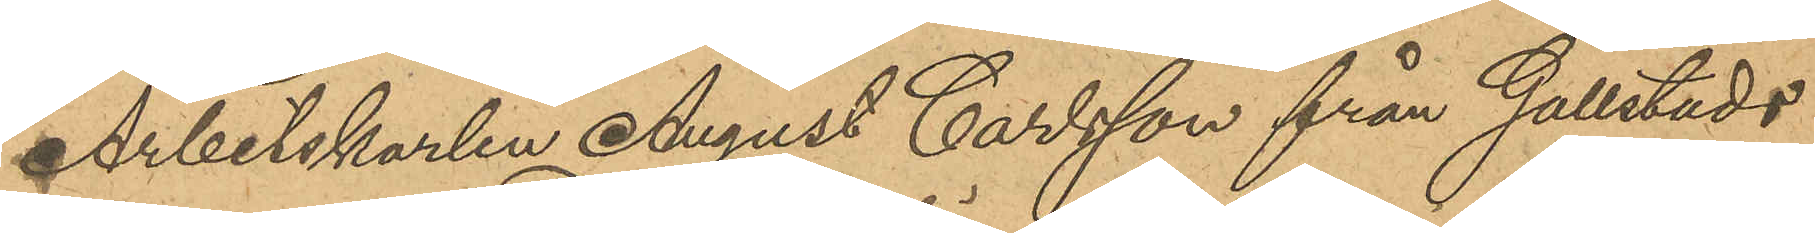Arbetskarlen August Carlsson från Gällstads
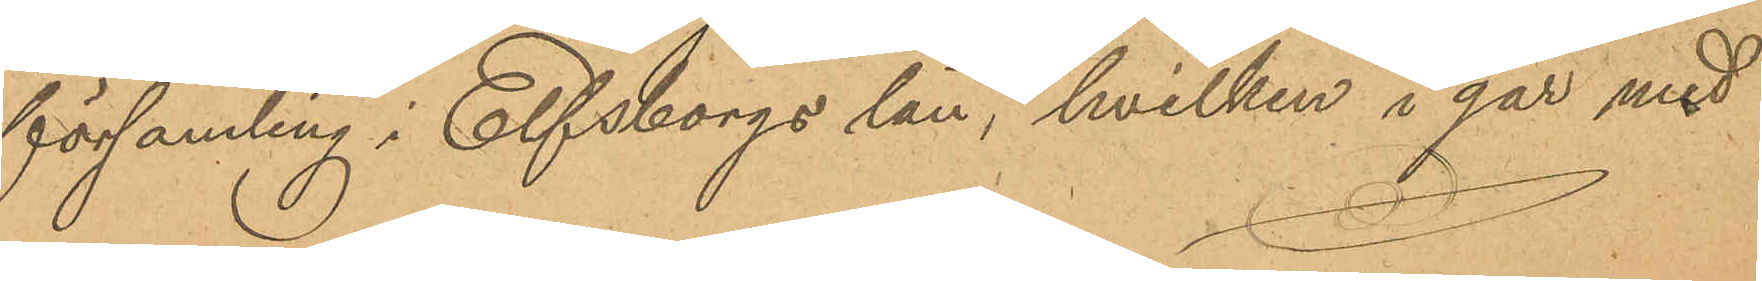församling i Elfsborgs län, hvilken i går med
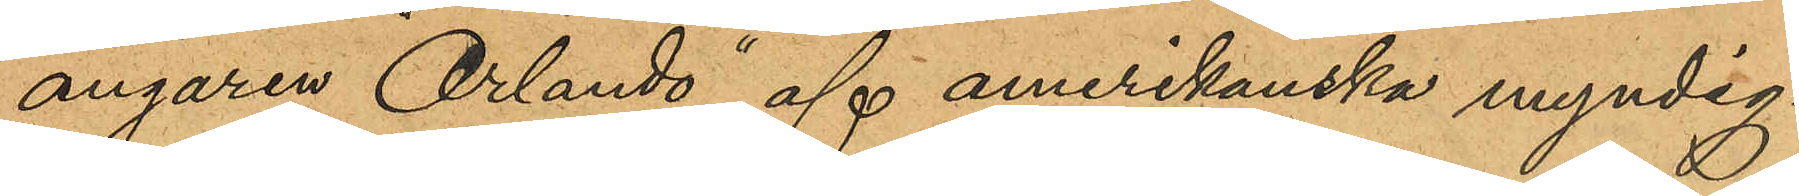ångaren "Orlando" af amerikanska myndig¬
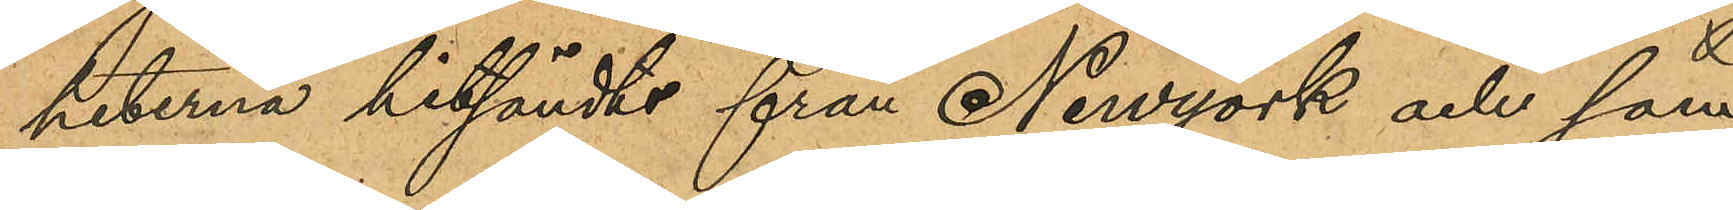heterna hitsändts från Newyork och som
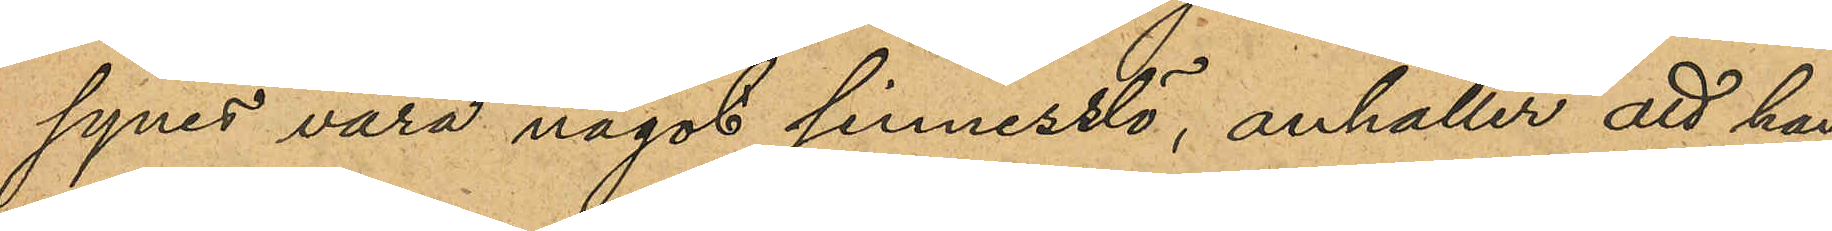synes vara något sinnesslö, anhåller att han,
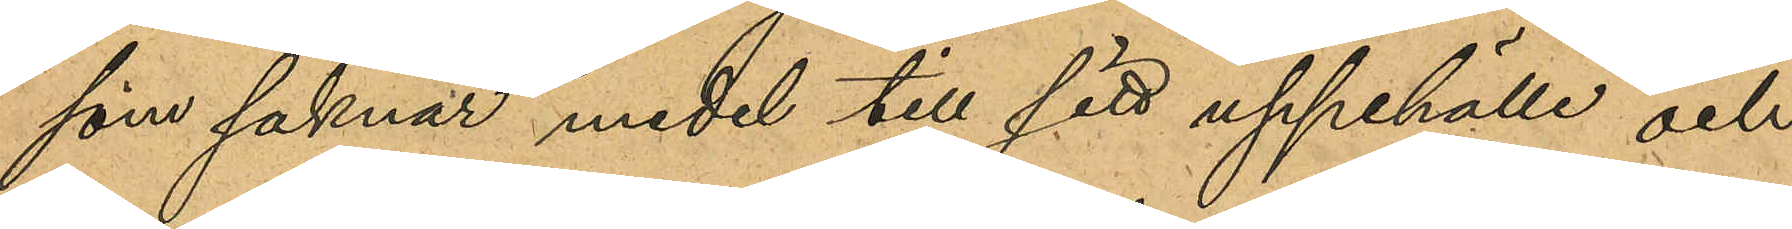som saknar medel till sitt uppehälle och
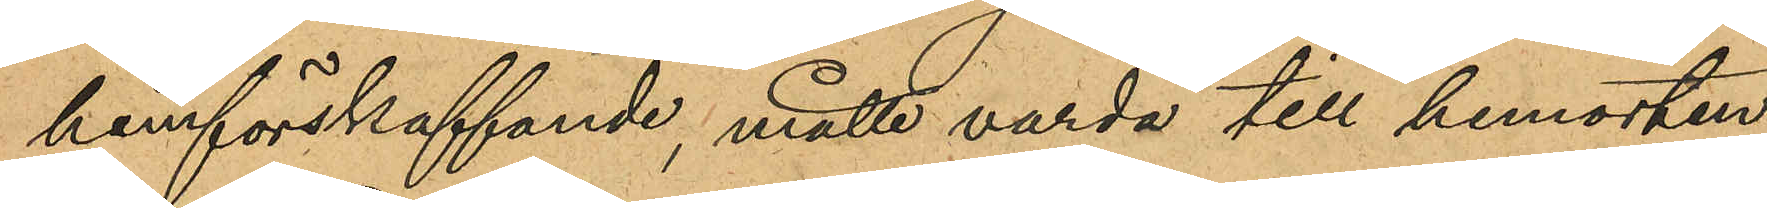hemförskaffande, måtte varda till hemorten
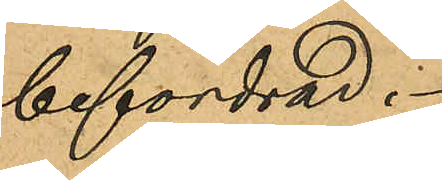befordrad.
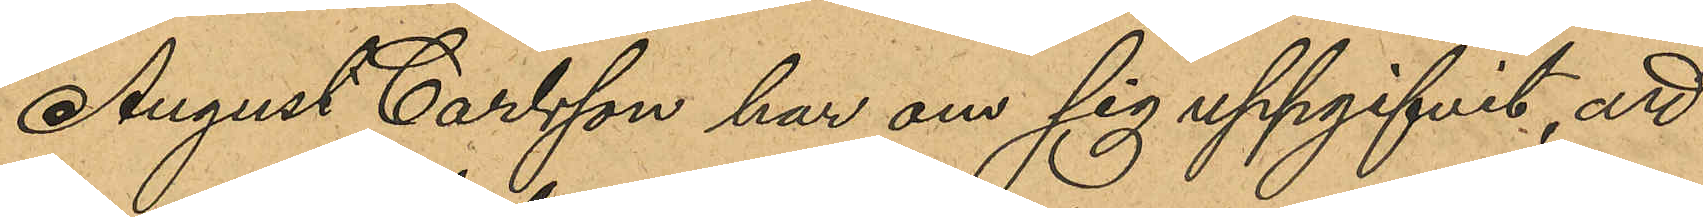August Carlsson har om sig uppgifvit, att
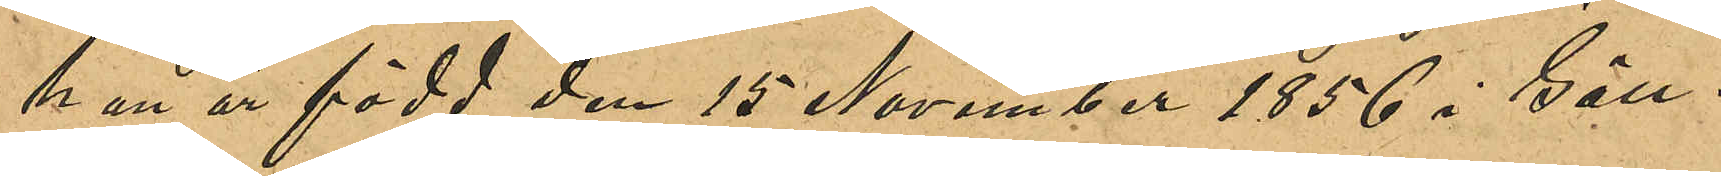han är född den 15 November 1856 i Gäll¬
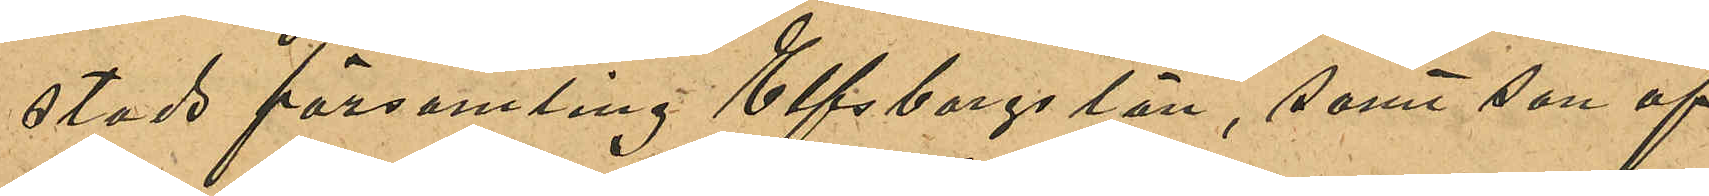stads församling Elfsborgs län, som son af
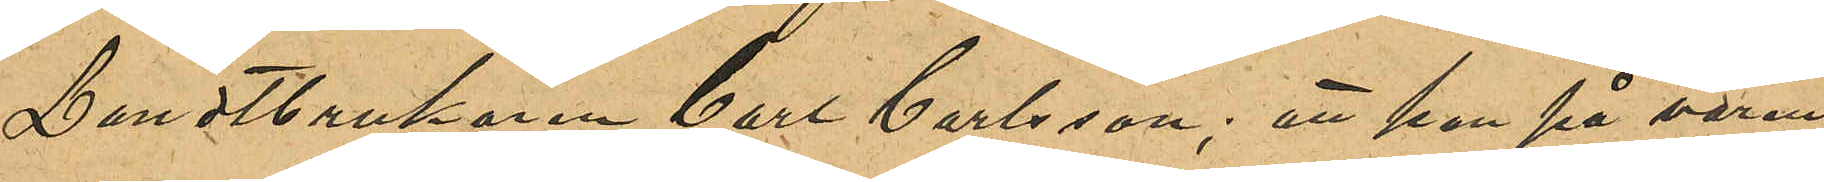Landtbrukaren Carl Carlsson; att han på våren
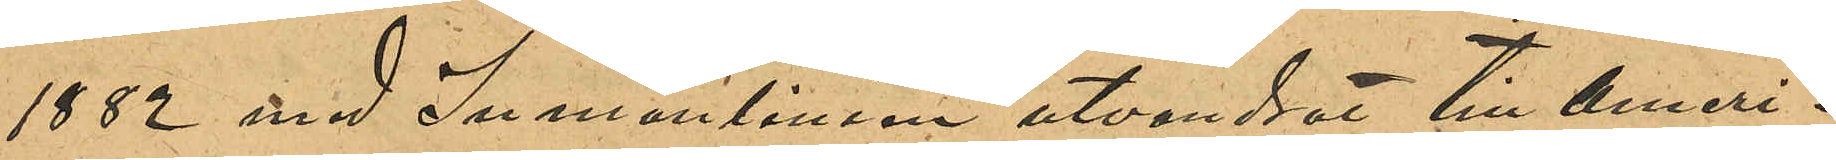1882 med Inmanlinien utvandrat till ameri¬
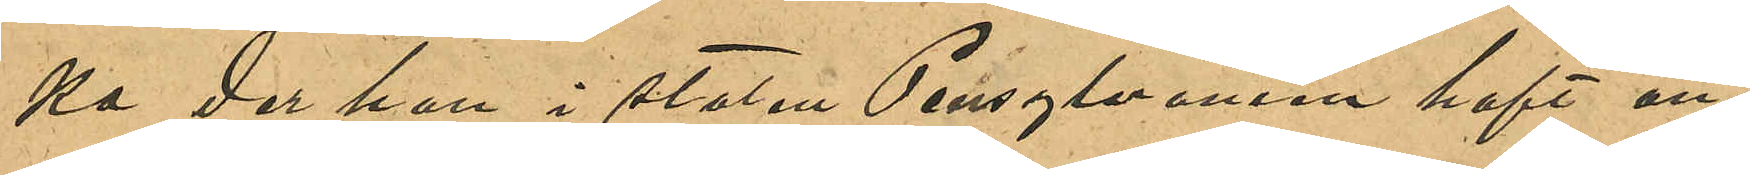ka der han i staten Pennsylvania haft an¬
